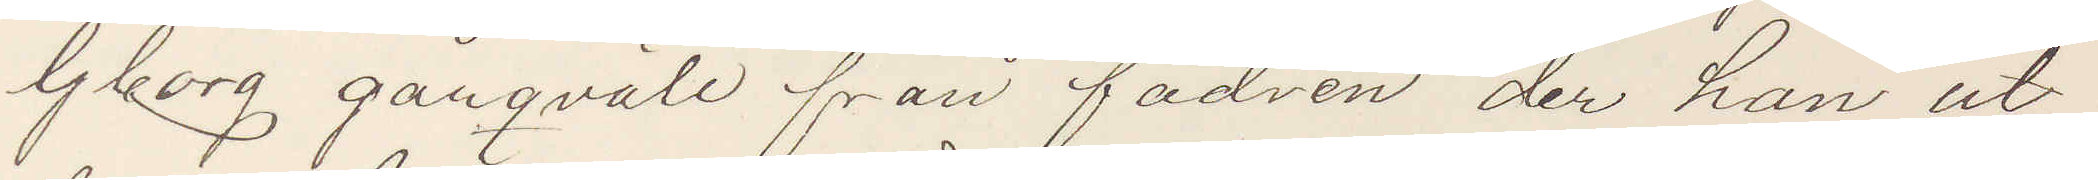Gborg gårqväll från fadren, der han ut¬
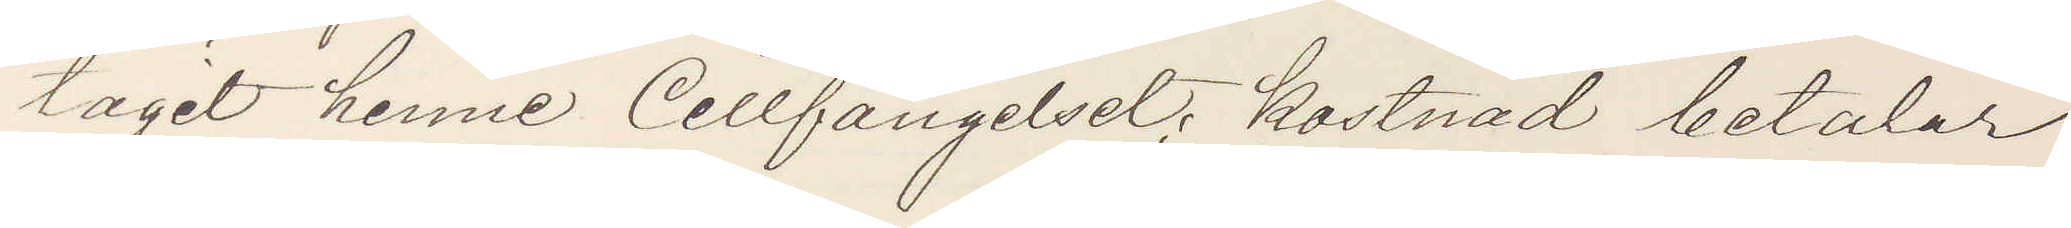tagit henne Cellfängelset; kostnad betalar
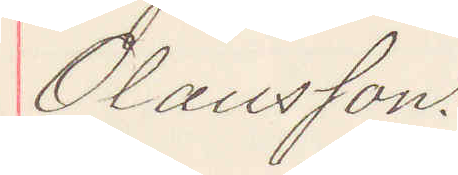Olausson.
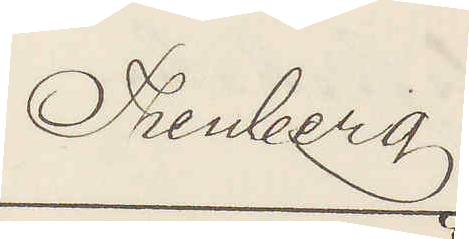Thenberg
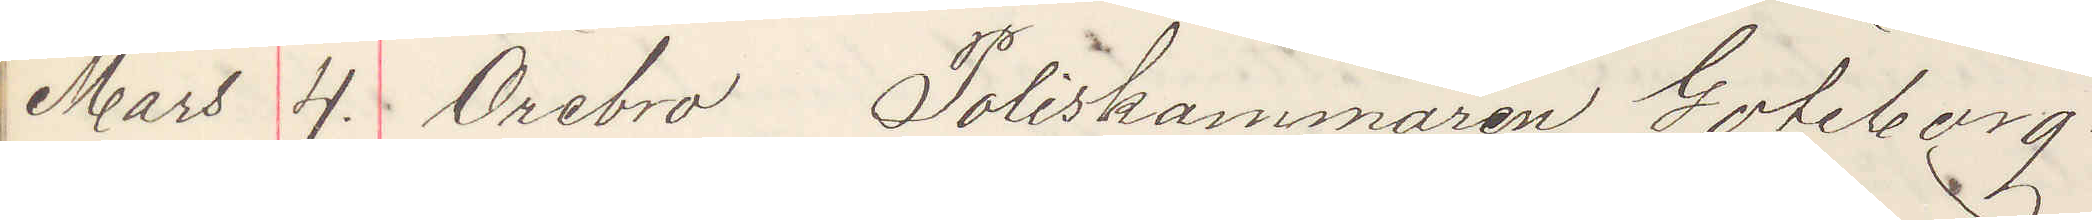Mars 4. Örebro, Poliskammaren Göteberg.
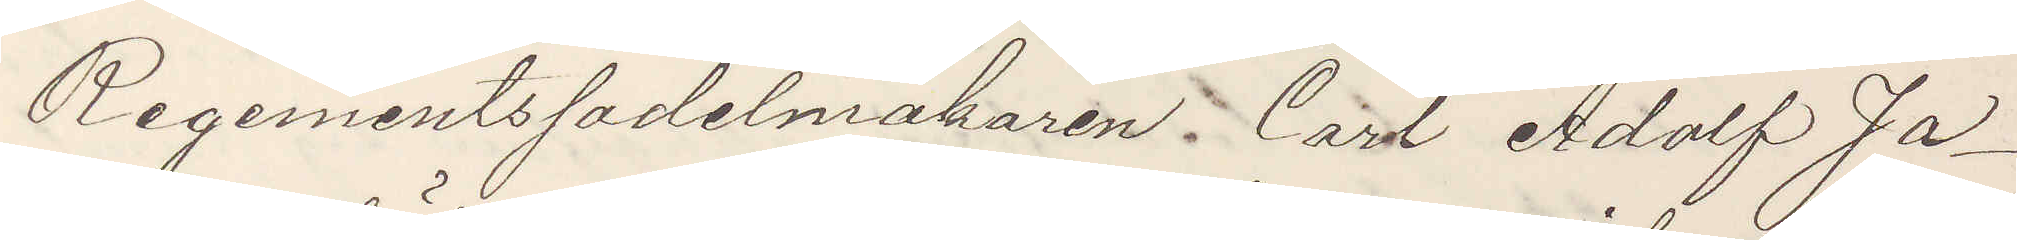Regementssadelmakaren Carl Adolf Ja¬
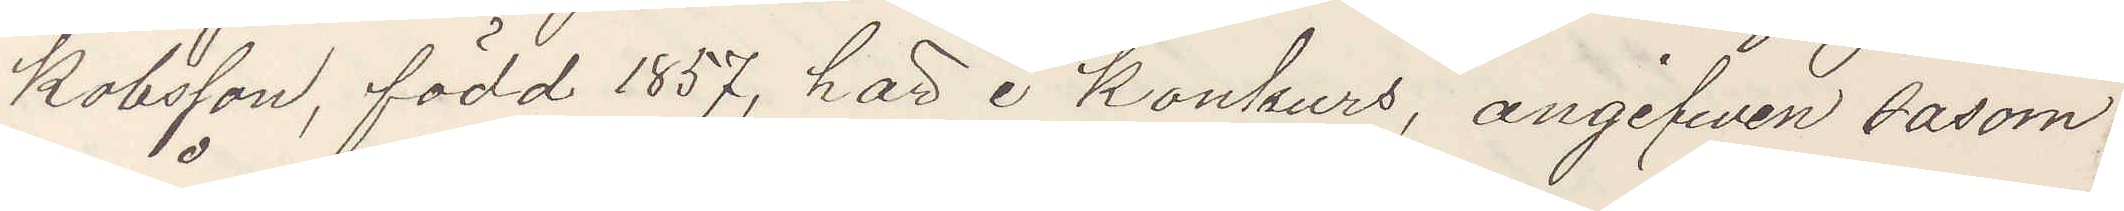kobsson, född 1857, här i Konkurs, angifwen såsom
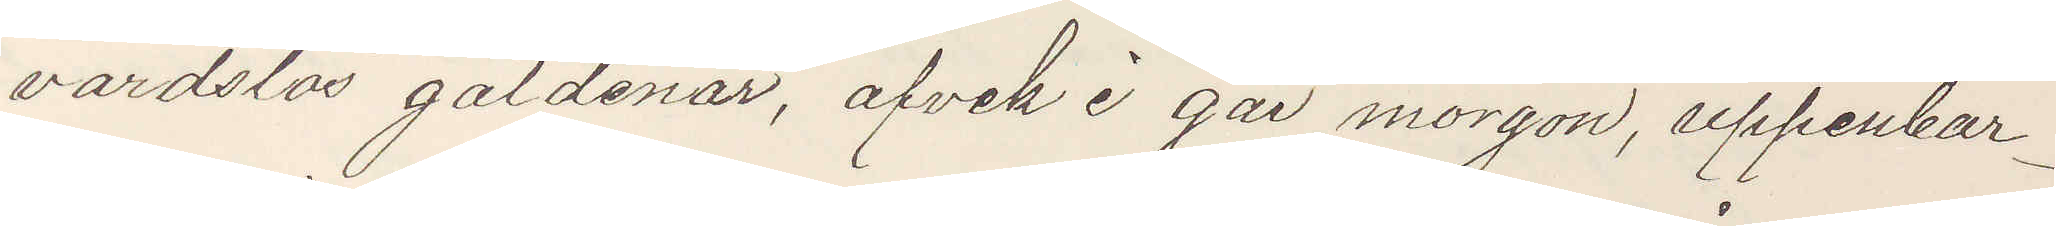vårdslös gäldenar, afvek i går morgon, uppenbar¬
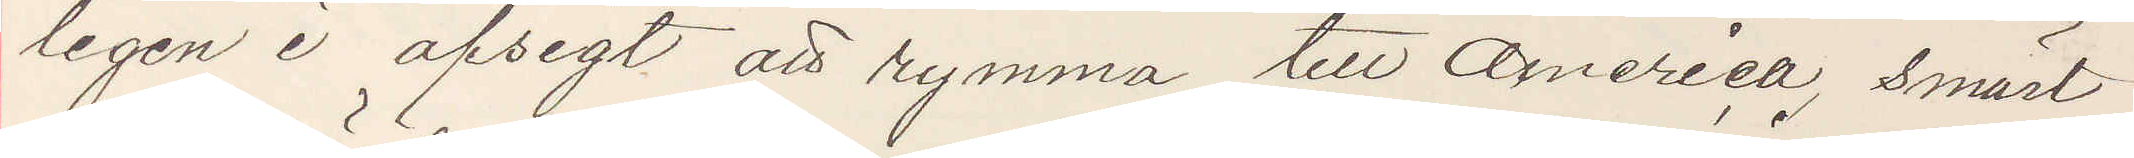ligen I afsigt att rymma till America, smärt
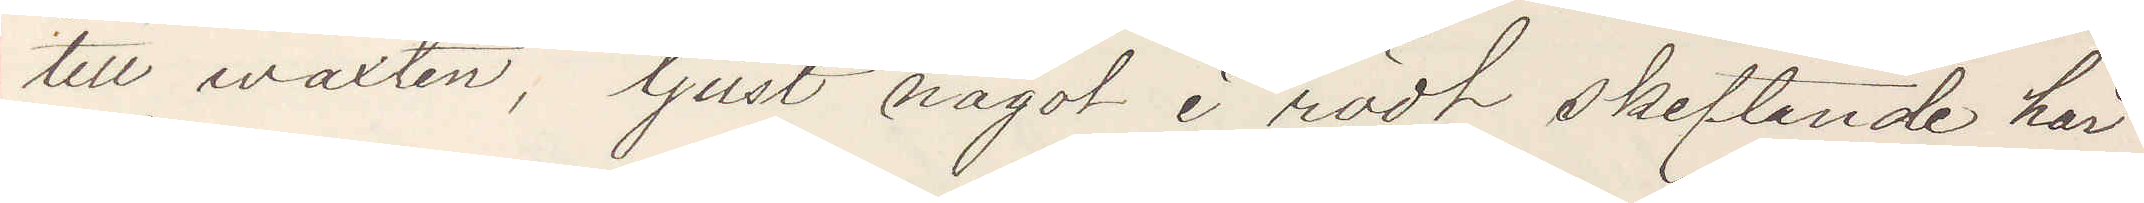till växten, ljust något i rödt skiftande hår
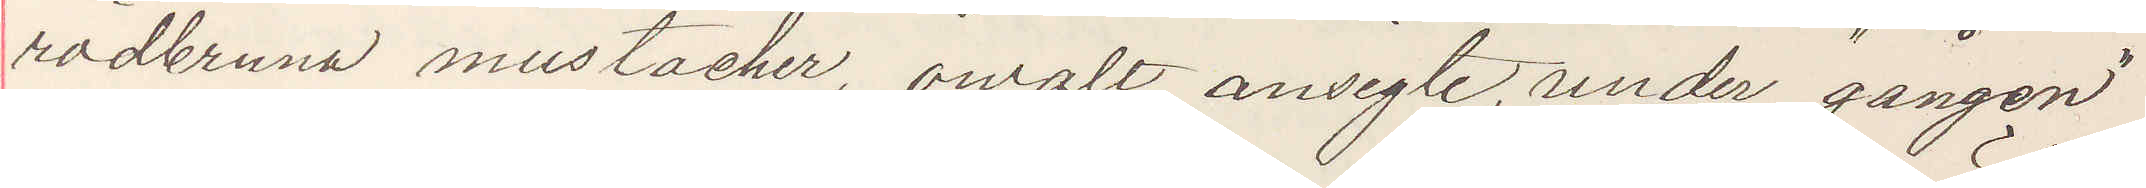rödbruna mustacher, ovalt ansigte, under "gången"
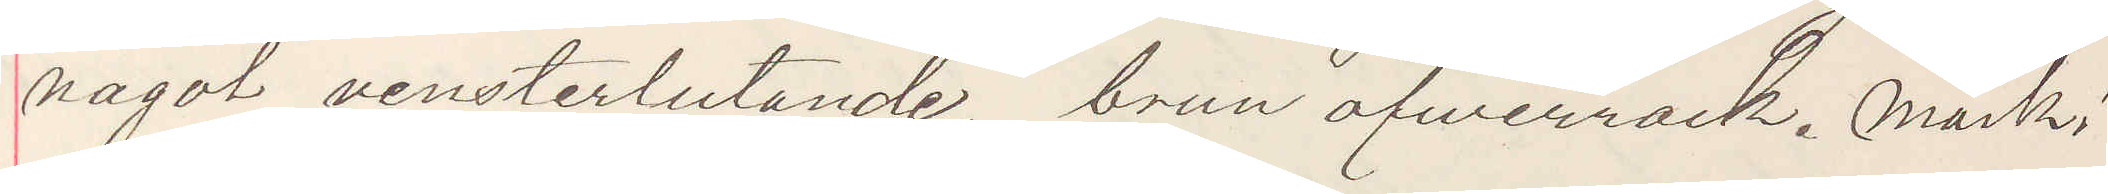något vensterlutande, brun öfwerrock. Märk!
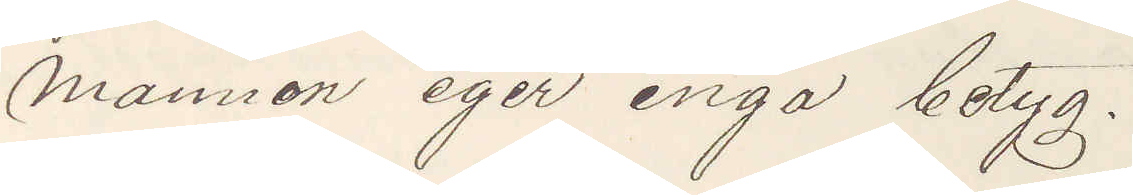Mannen eger inga betyg.
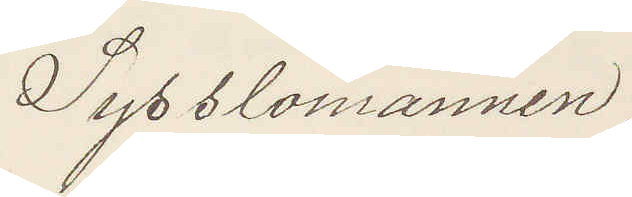Sysslomännen.
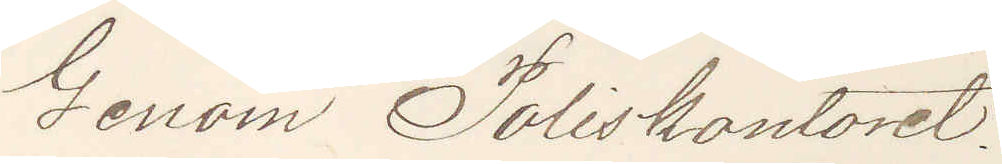Genom Poliskontoret.
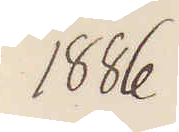1886
